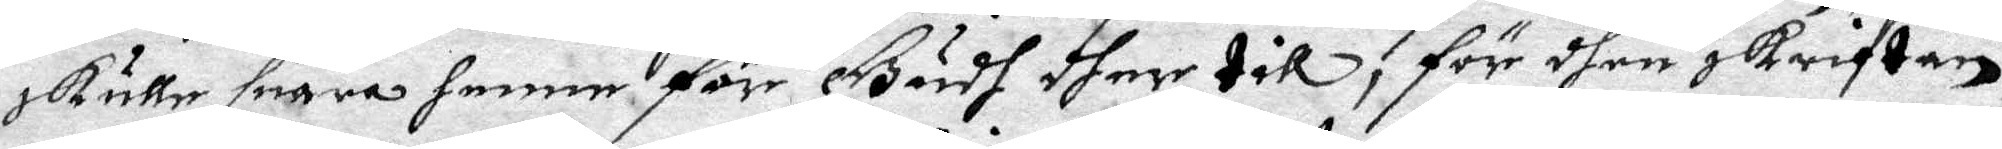skulle suara henne för Gudh dher till, för dhen skriften,
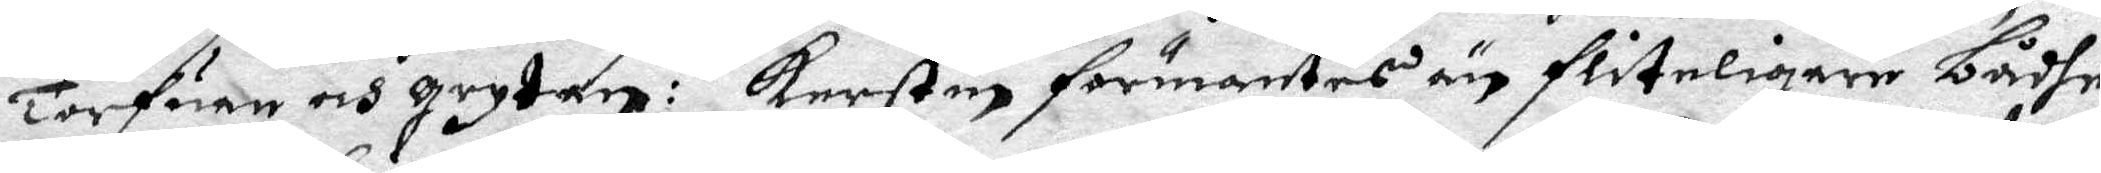Torfuan och grytan: Kerstin förmantes än flitigare bådhe
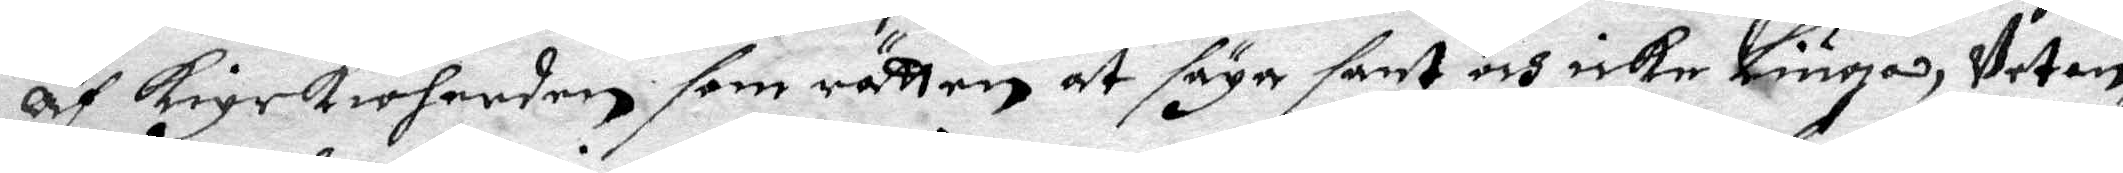Af kyrkioherden som rätten at säga sant och  icke Liuga, Vetan¬
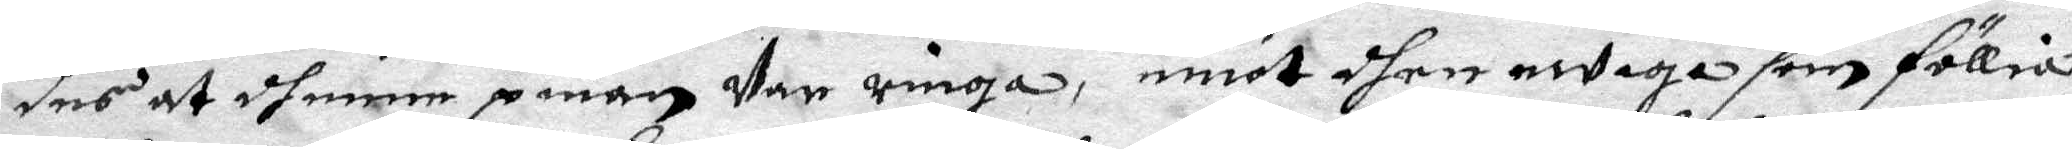des at dhenne pinan Var ringa, emot dhen ewiga som föllia
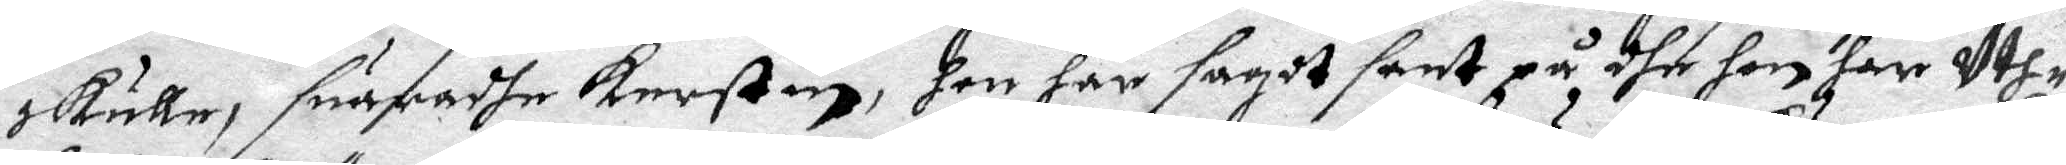skulle, suaradhe Kerstin, hon han sagdt sant på dhe hon har uth¬
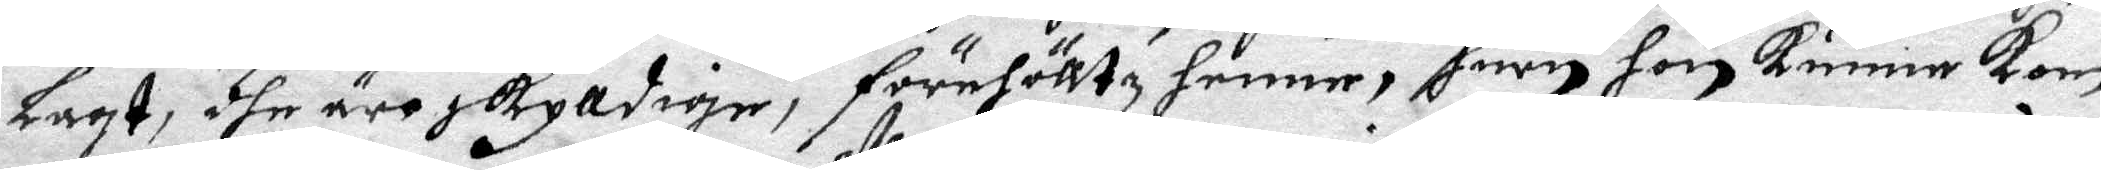lagt, dhe äre skylldige, förehölltz henne, huru hon kunne kom¬
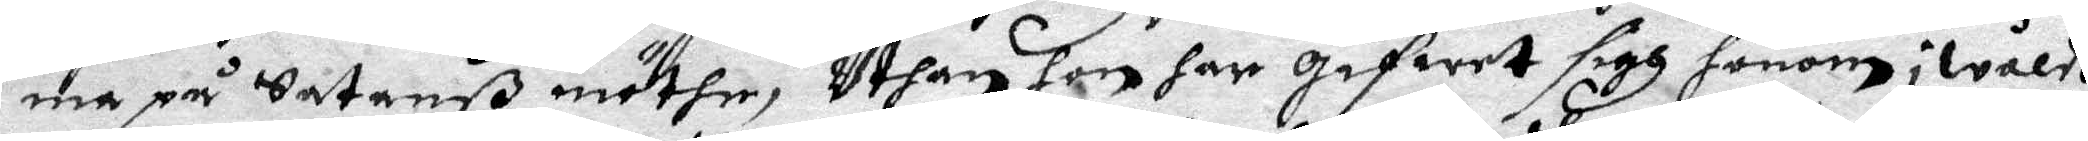ma på Satanß möthe, Uthan hon har Gifwet sigh honom i wåldh
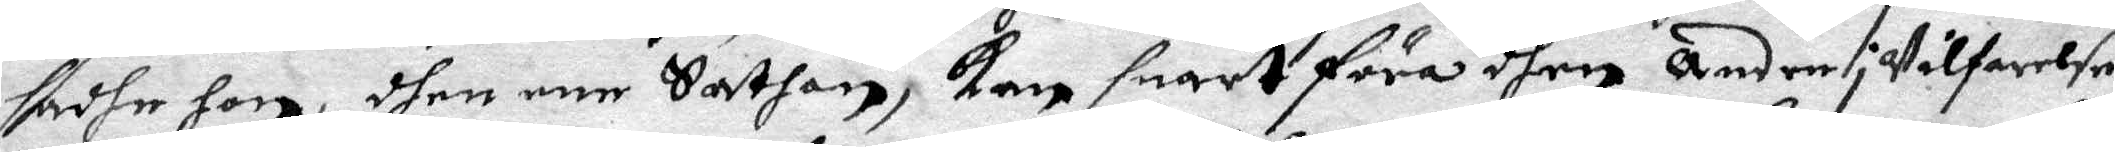sadhe hon, dhen ene Sathan, kan snart föra dhen andre i Vilfarelse.
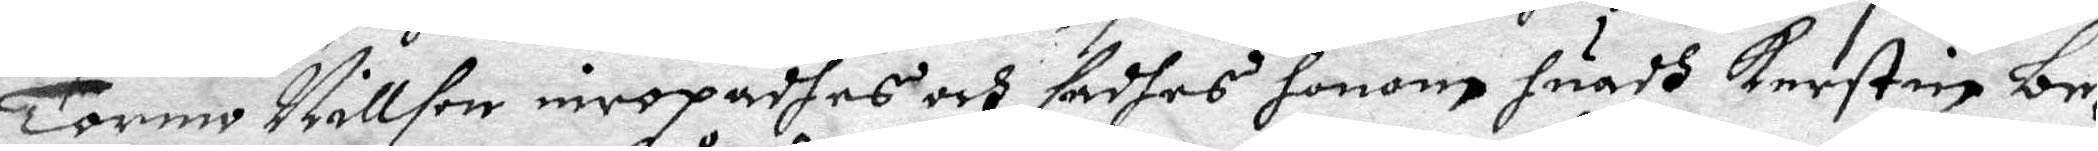Tormo Nillson inropadhes och sadhes honom huadh Kerstin be¬
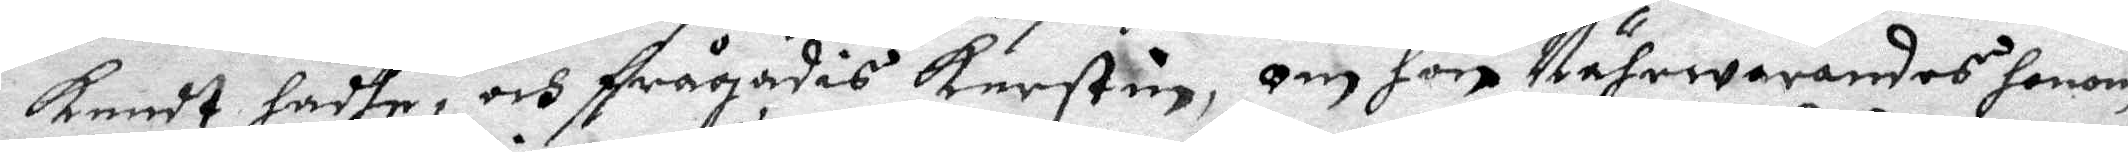kendt hadhe, och frågades Kerstin, om hon Nährwarandes honom
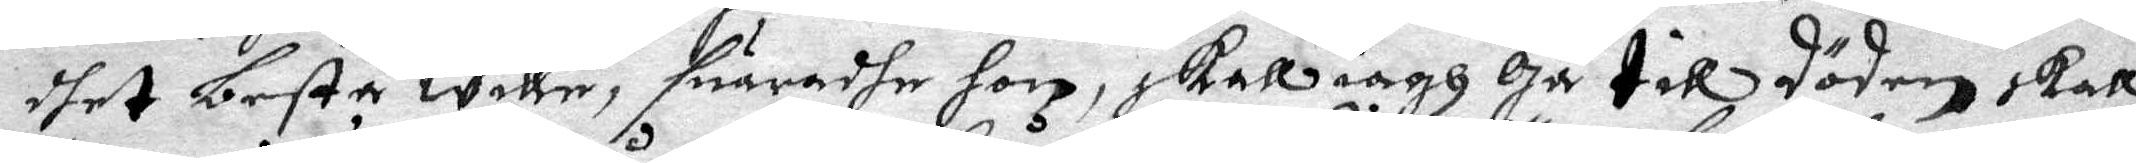dhet bestå wille, suaradhe hon, skall iagh Gå till döden skall
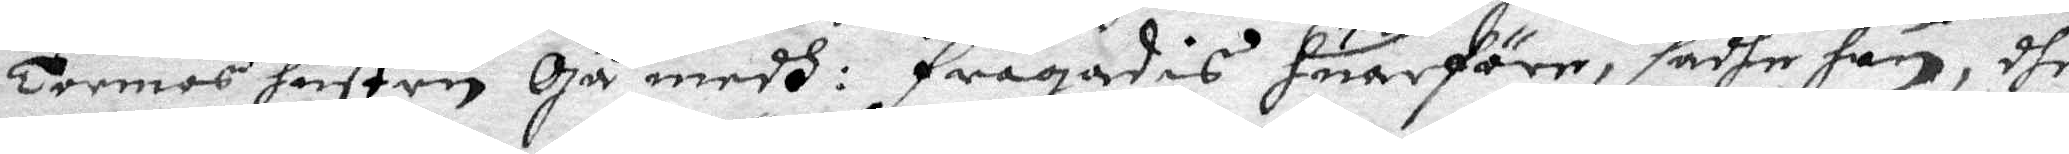Tormos hustru Gå medh: frågades huarföre, sadhe hon, dhe
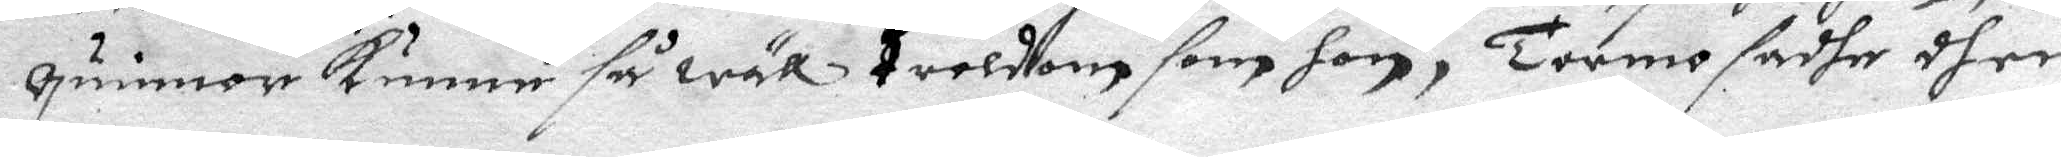quinnor kunne så wäll troldom som hon, Tormo sadhe dhen
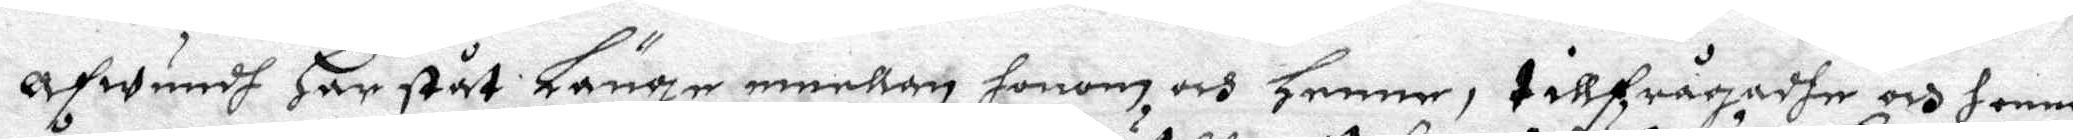afwundh Har ståt Länge emellan honom och henne, tillfrågadhe och henne
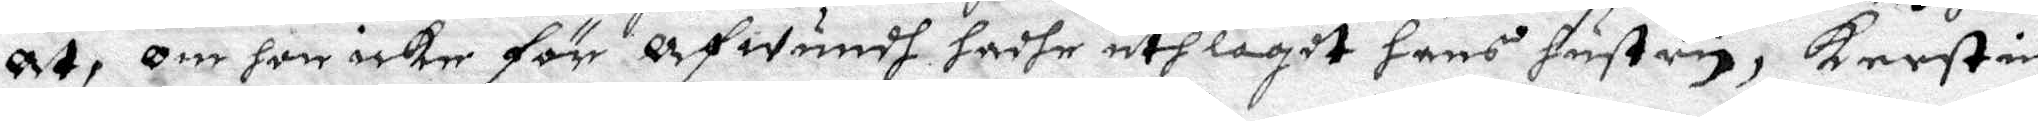Åt, om hon icke för Afwundh hadhe utlagdt hans hustru, kerstin
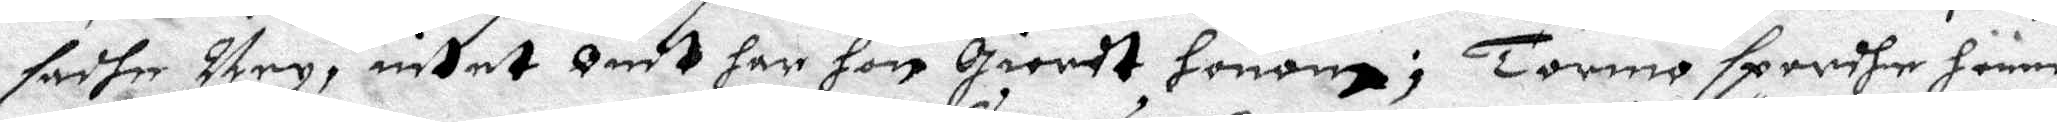sadhe Ney, intet Ondt har hon Giordt honom; Tormo spordhe henne
